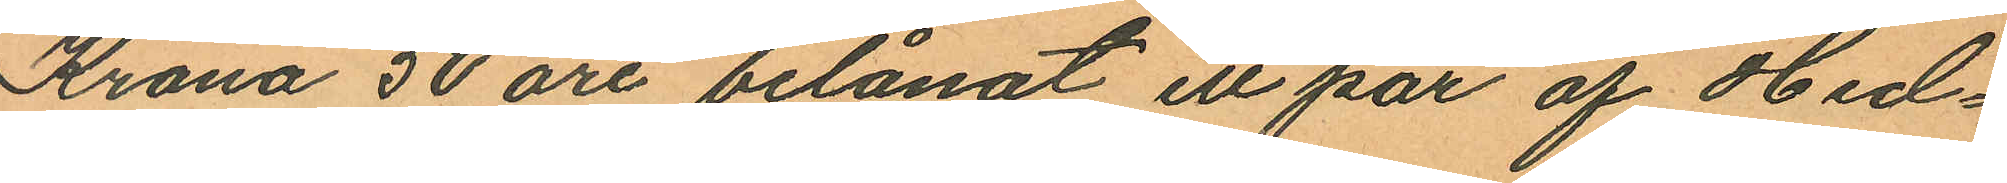Krona 50 öre belånat ett par af Hed¬
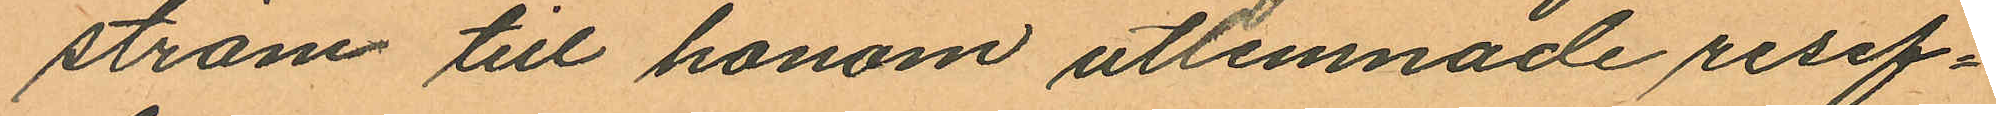ström till honom utlemnade resef¬
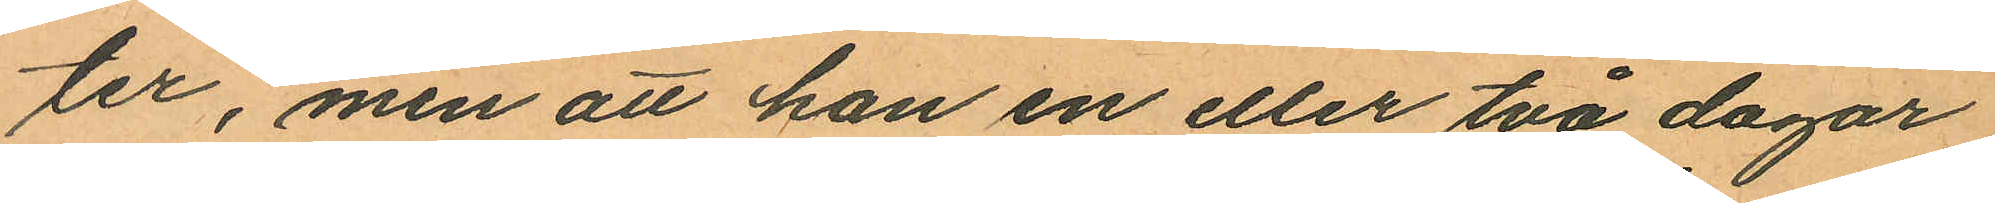ter, men att han en eller två dagar
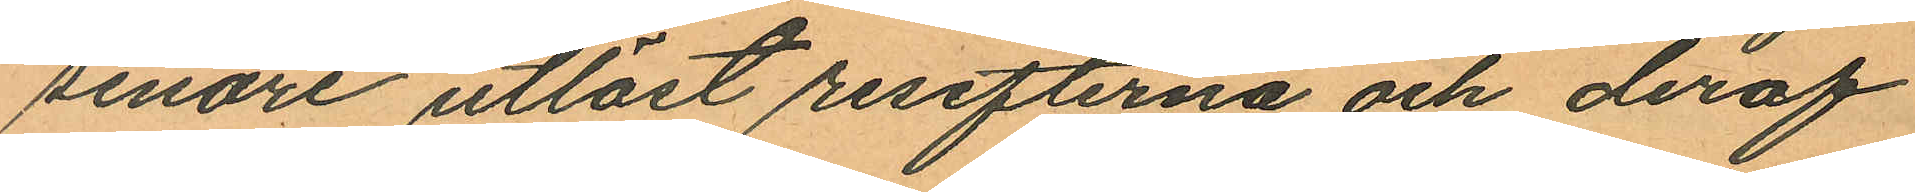senare utlöst resefterna och deraf
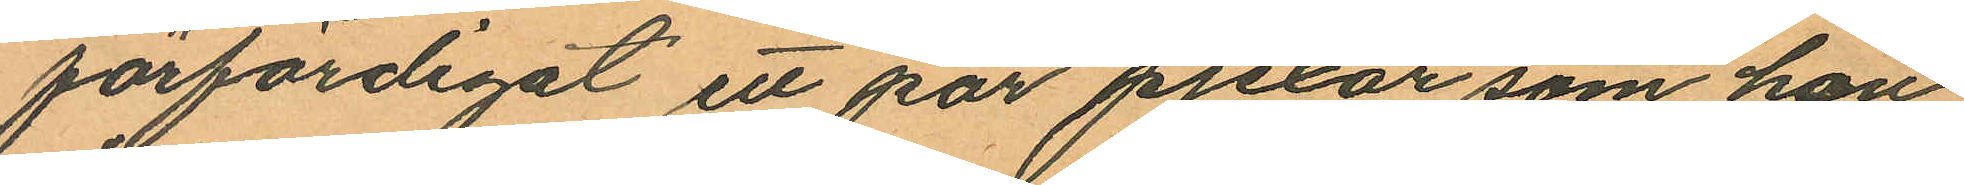förfärdigat ett par pjexor som han
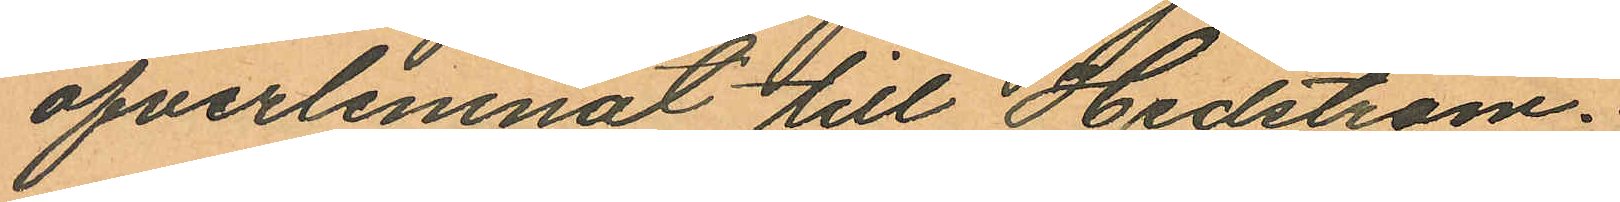öfverlemnat till Hedström.
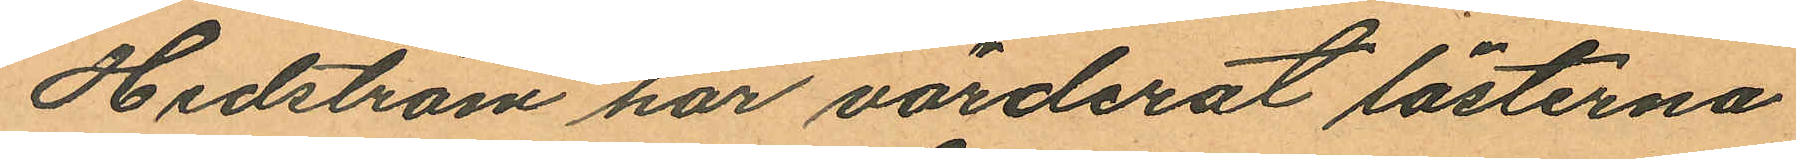Hedström har värderat lästerna
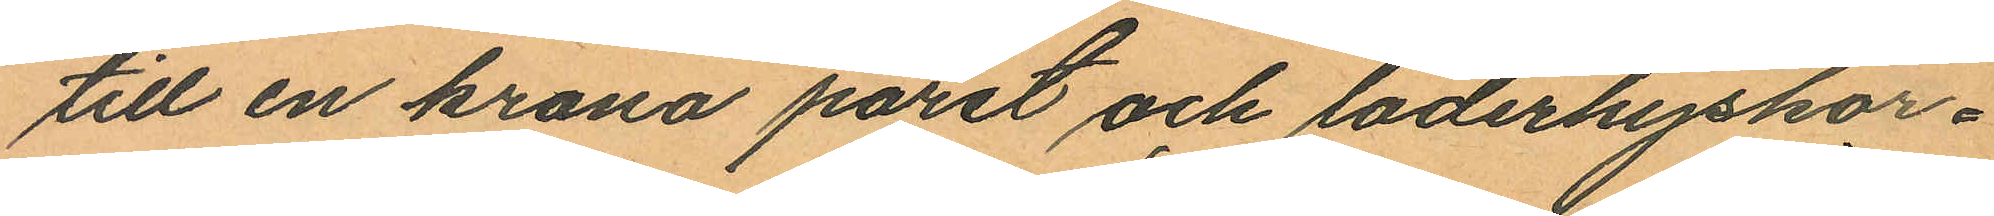till en krona paret och läderhyskor¬
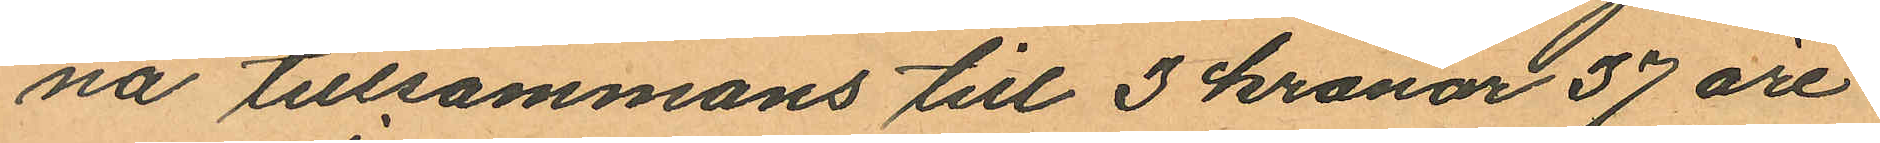na tillsammans till 3 kronor 37 öre.
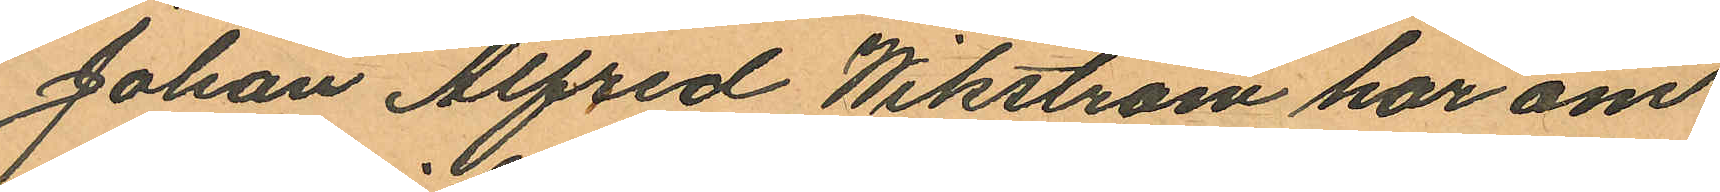Johan Alfred Wikström har om
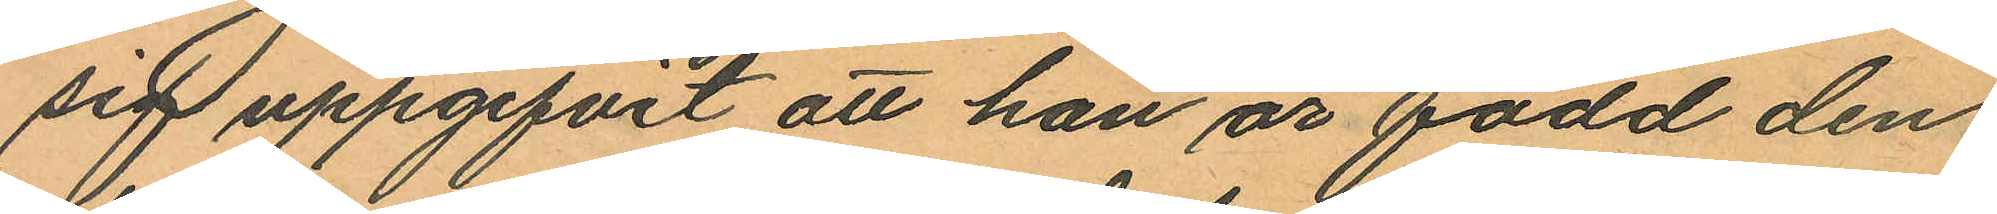sig uppgifvit att han är född den
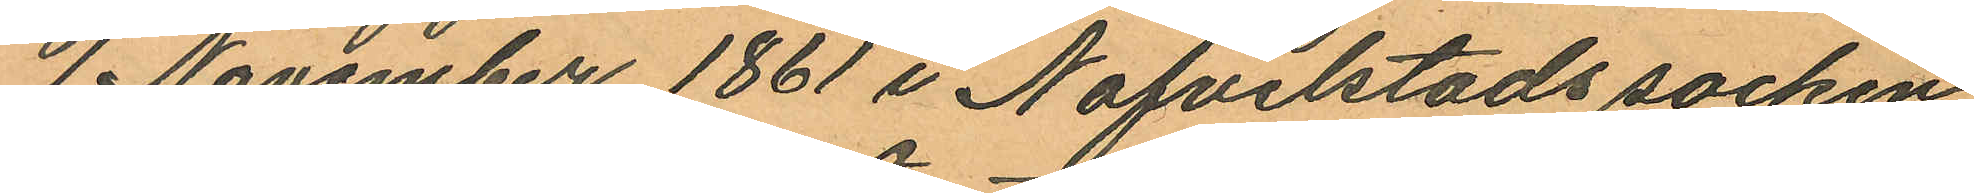1 November 1861 i Nafvelstads socken
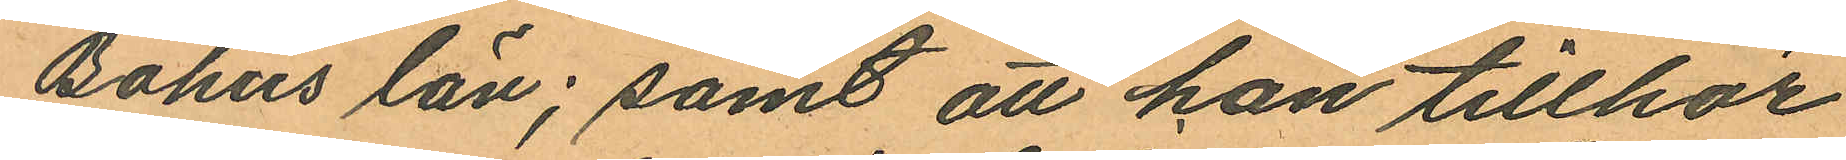Bohus län; samt att han tillhör
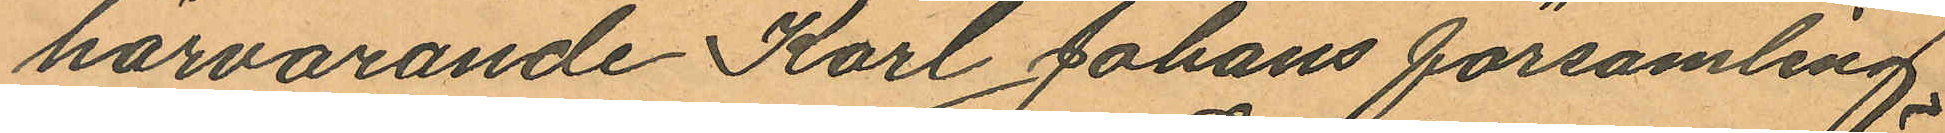härvarande Karl Johans församling.
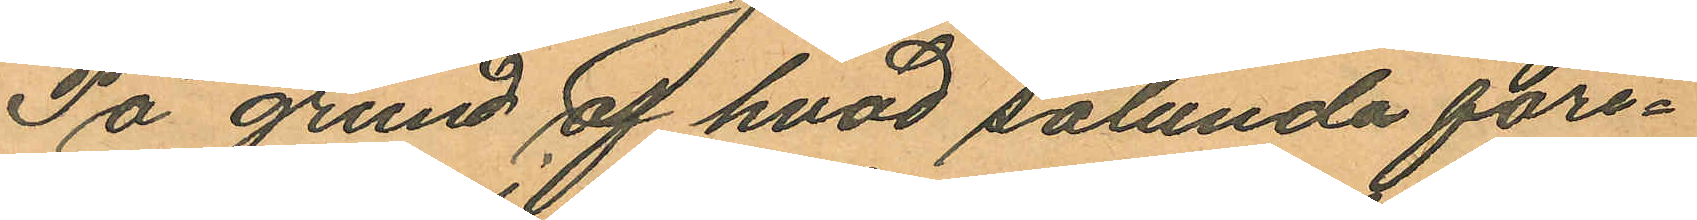På grund af hvad sålunda före¬
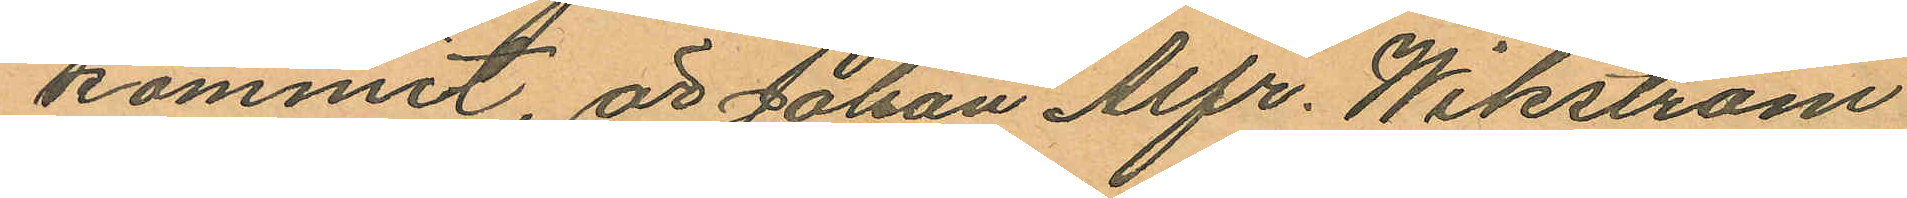kommit, är Johan Alfr. Wikström
